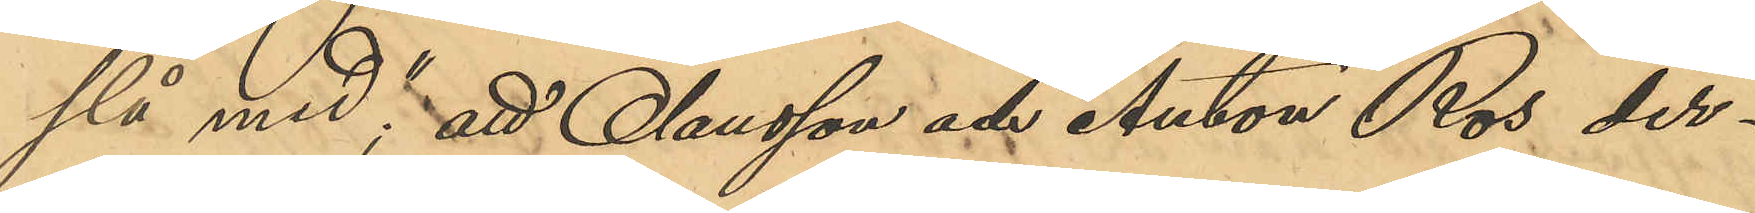slå med"; att Olausson och Anton Ros der¬
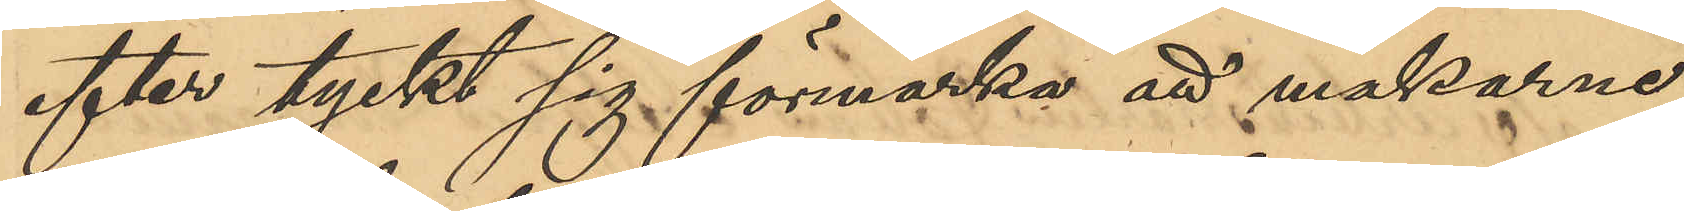efter tyckt sig förmärka att makarna
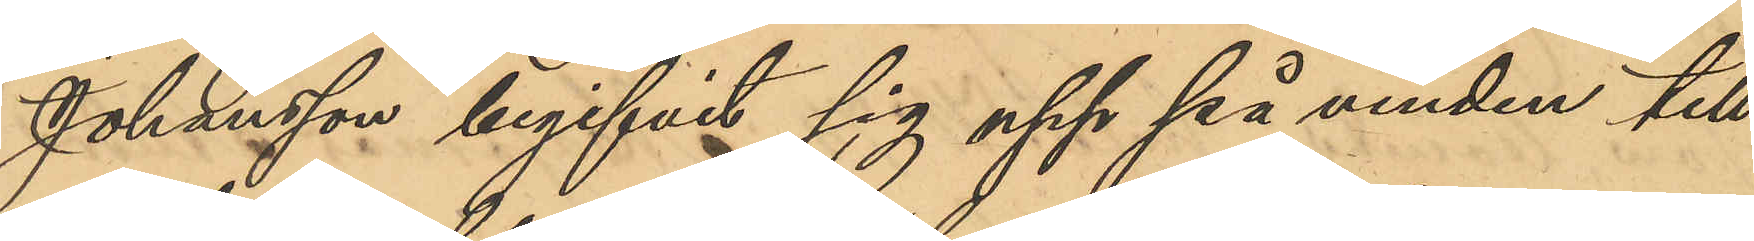Johansson begifvit sig upp på vinden till
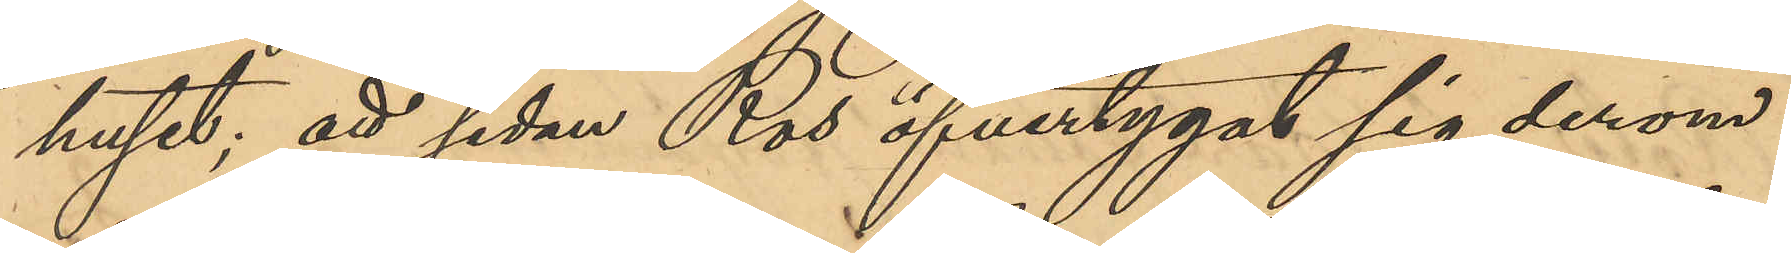huset; att sedan Ros öfvertygat sig derom
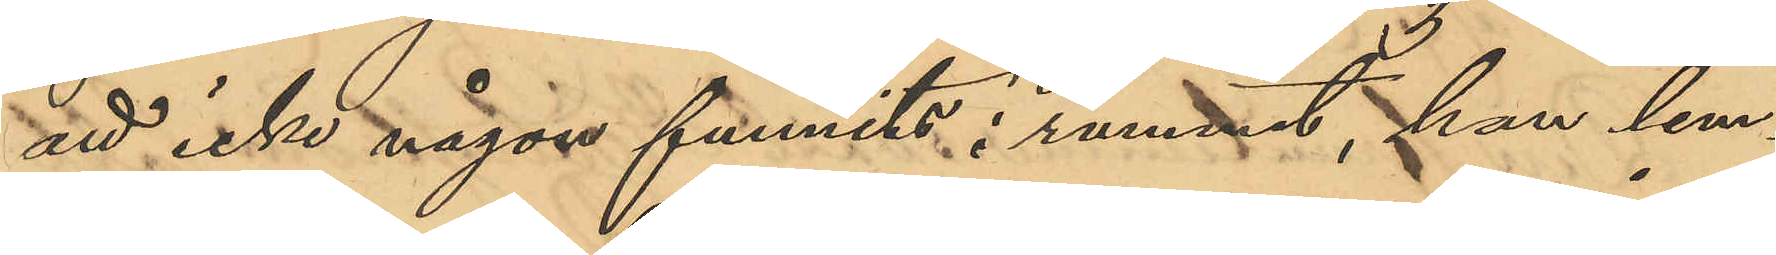att icke någon funnits i rummet, han lem¬
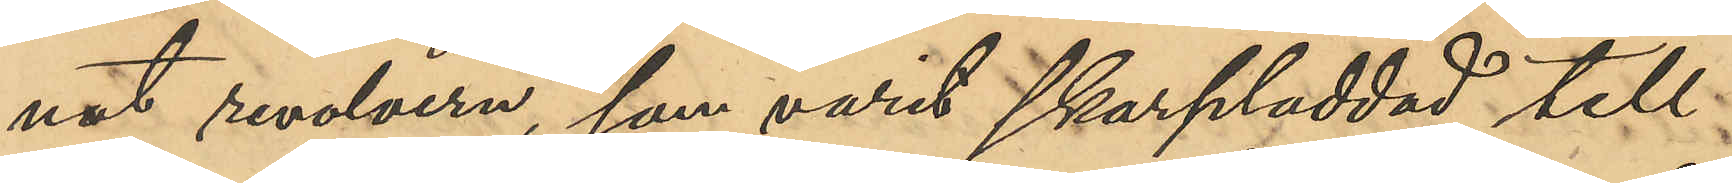nat revolvern, som varit skarpladdad, till
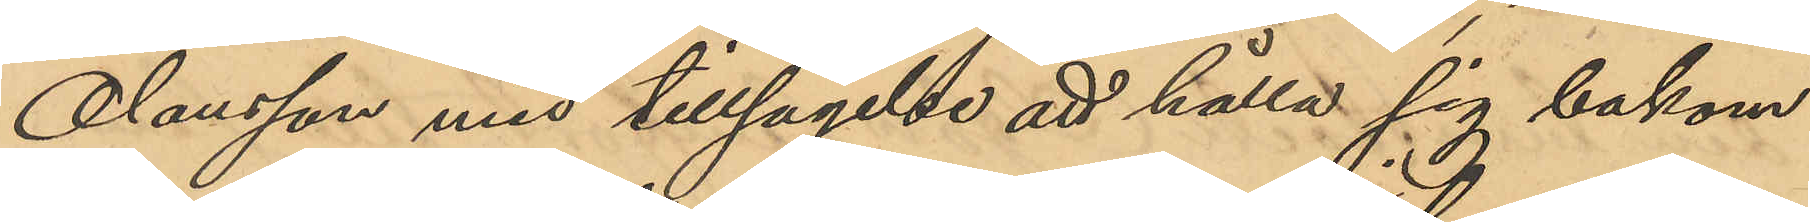Olausson med tillsägelse att hålla sig bakom
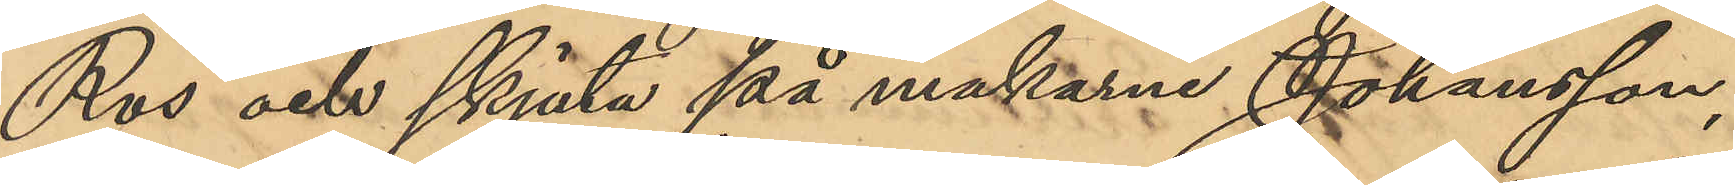Ros och skjuta på makarna Johansson,
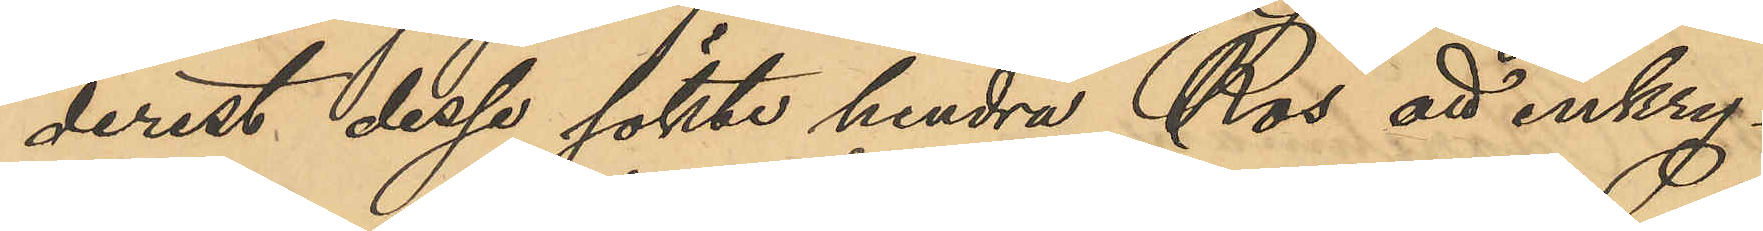derest dessa sökte hindra Ros att inkry¬
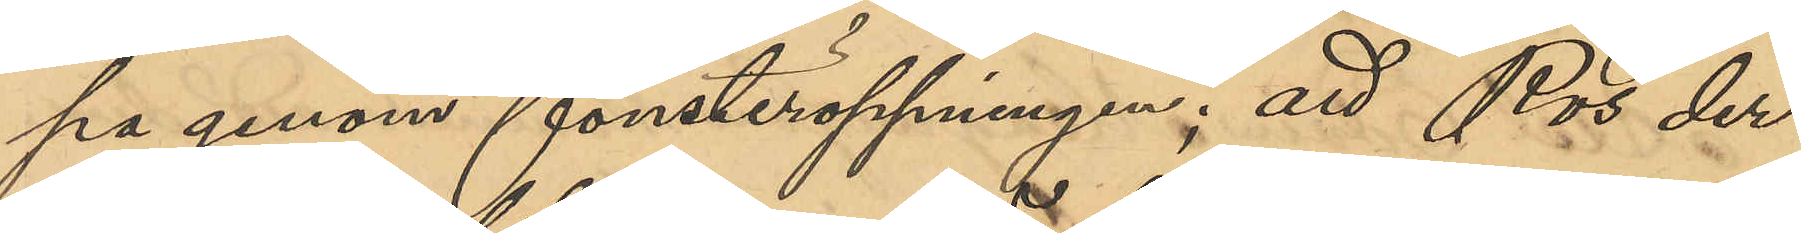pa genom fönsteröppningen; att Ros der¬
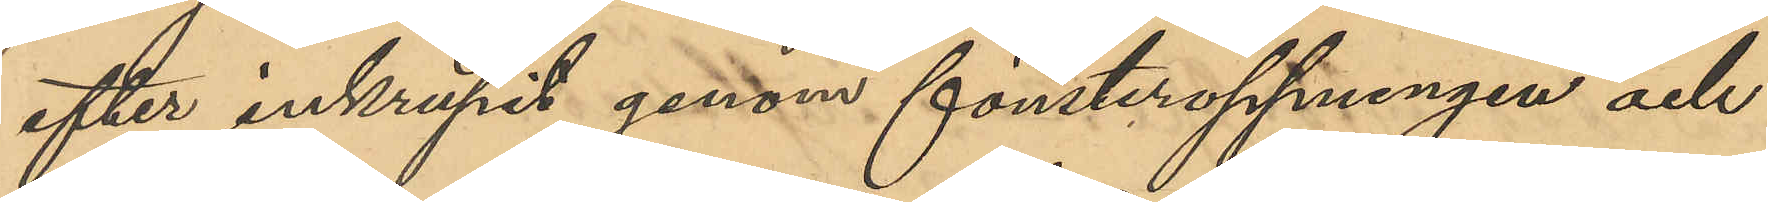efter inkrupit genom förnsteröppningen och
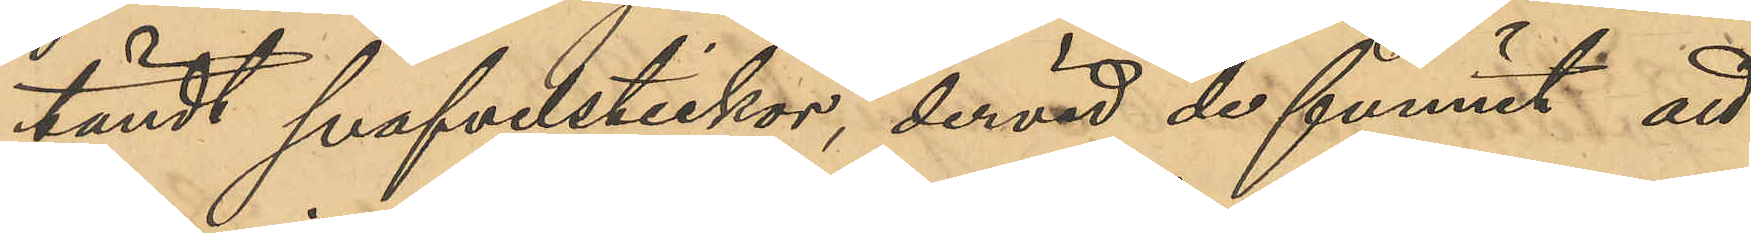tändt svavelstickor, dervid de funnit att
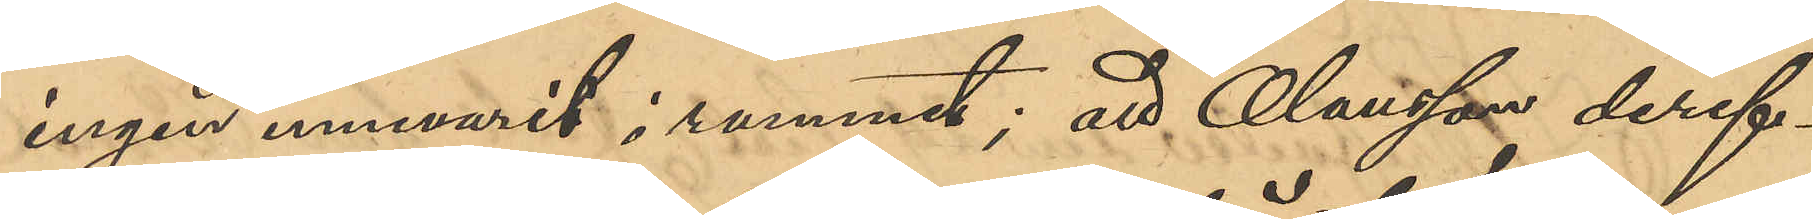ingen innevarit i rummet; att Olausson deref¬
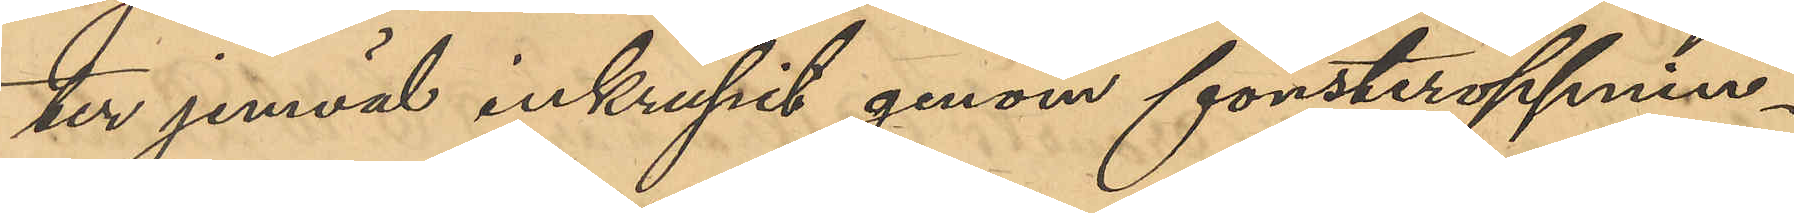ter jemväl inkrupit genom fönsteröppnin¬
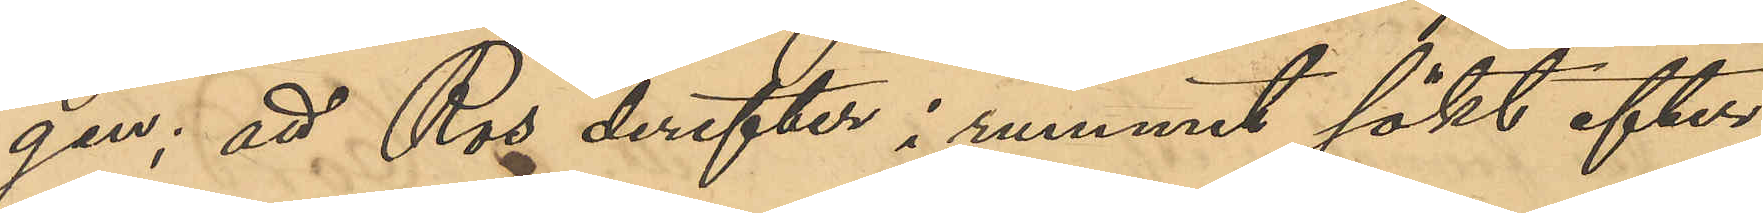gen; att Ros derefter i rummet sökt efter
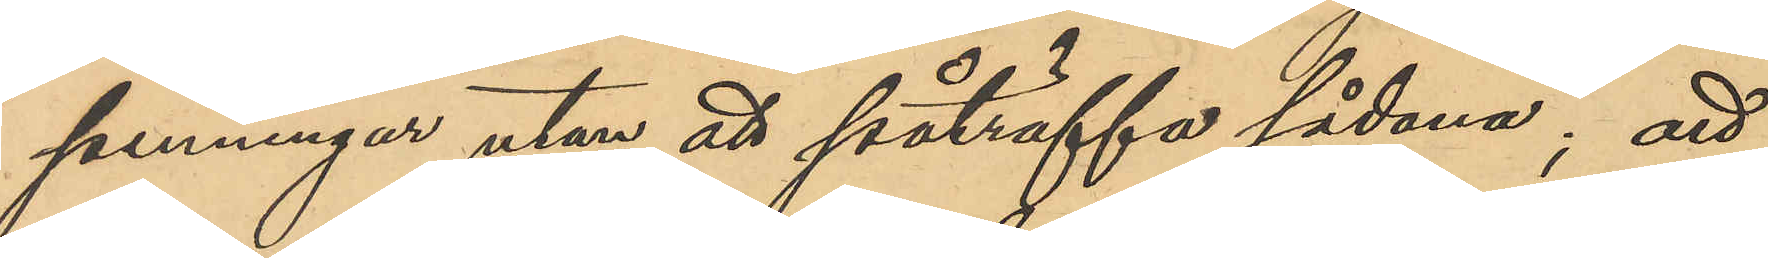penningar utan att påträffa sådana; att
